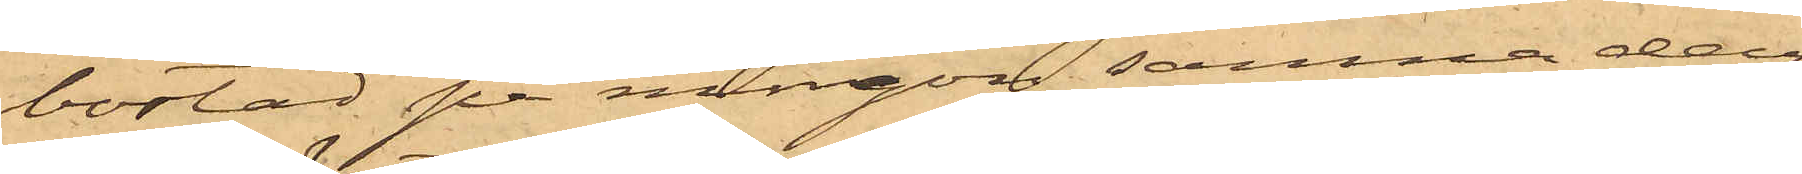bostad på morgon samma dag
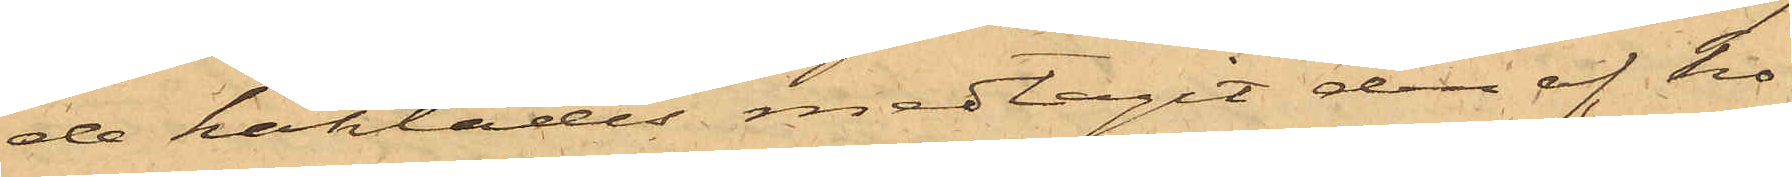de häktades medtagit den af ho¬
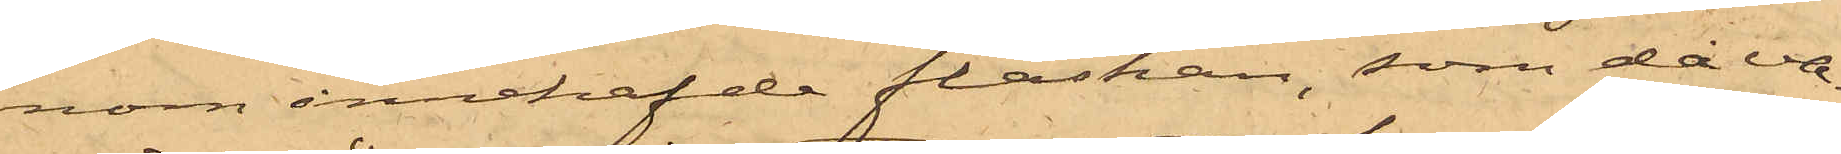nom innehafde flaskan, som då va¬
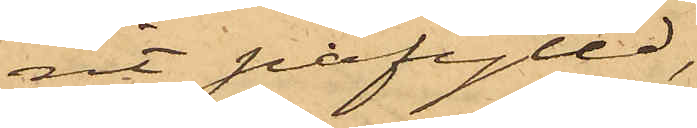rit påfylld,
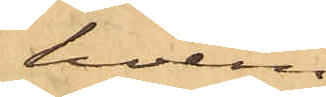hvem
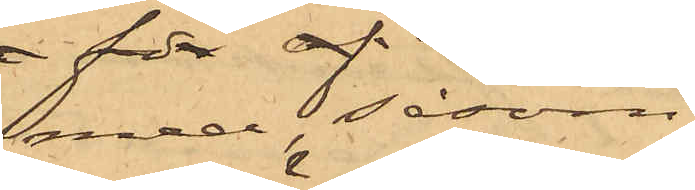med, såsom
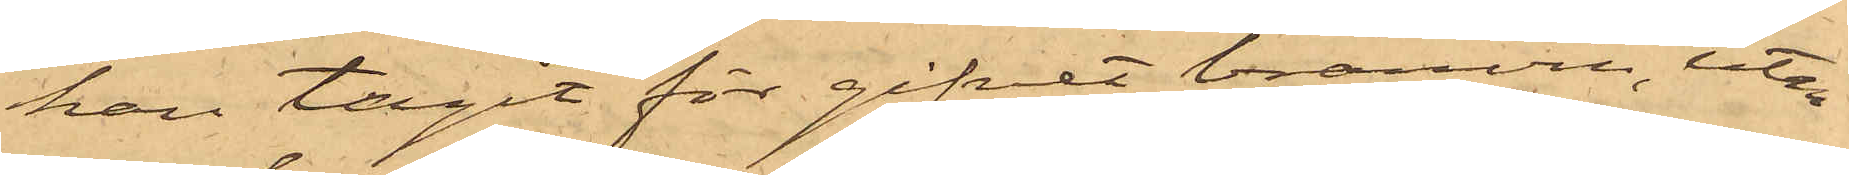han tagit för gifvet, bränvin, utan
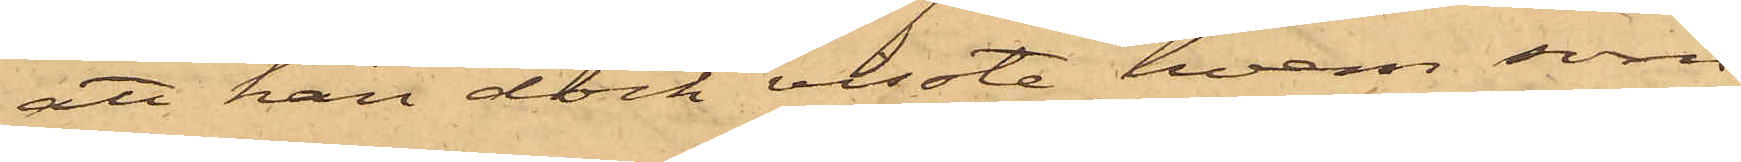att han dock visste, hvem som
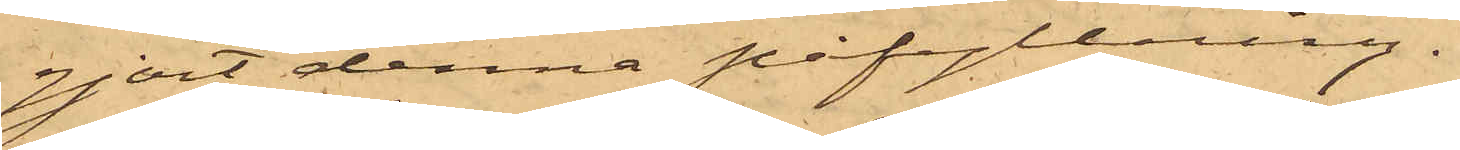gjort denna påfyllning.
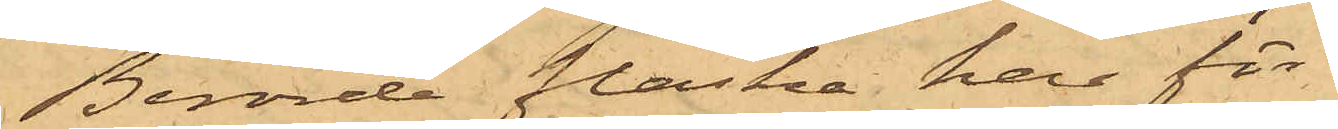Berörde flaska har för
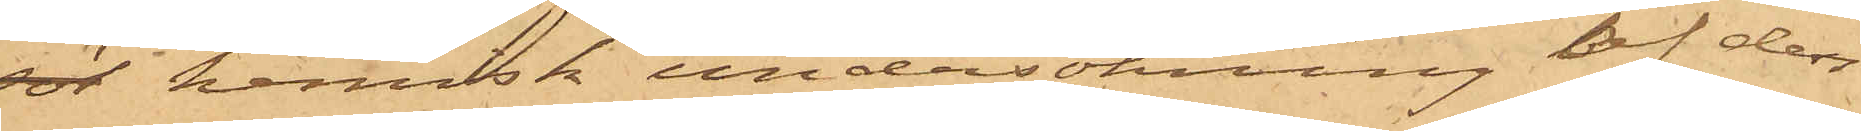sök kemisk undersökning af den
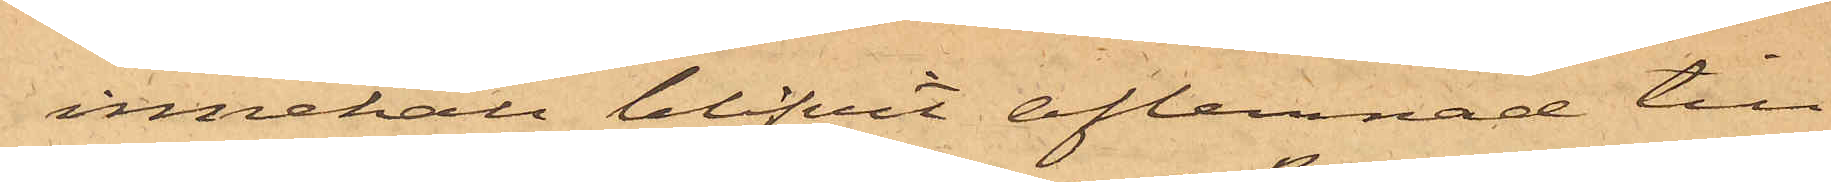innehåll blifvit aflemnad till
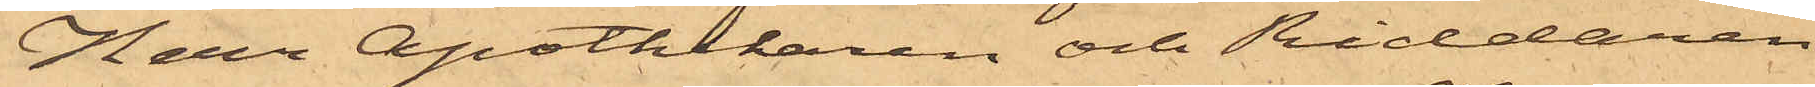Herr Apothekaren och Riddaren
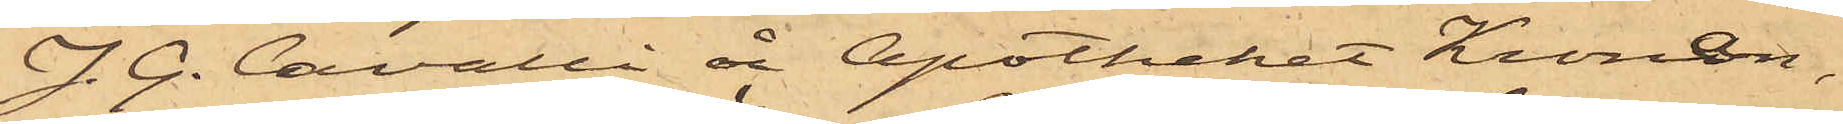J. G. Cavalli å Apotheket Kronan,
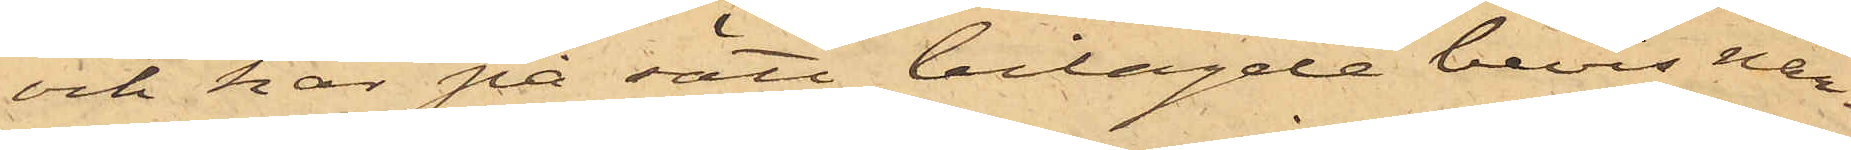och har på sätt bilagde bevis när¬
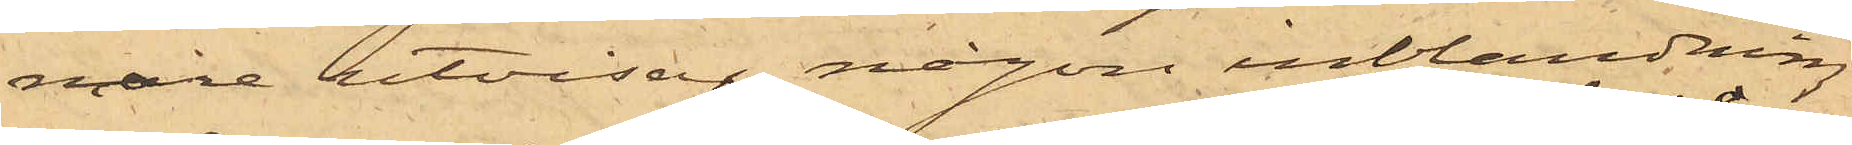mare utvisar någon inblandning
